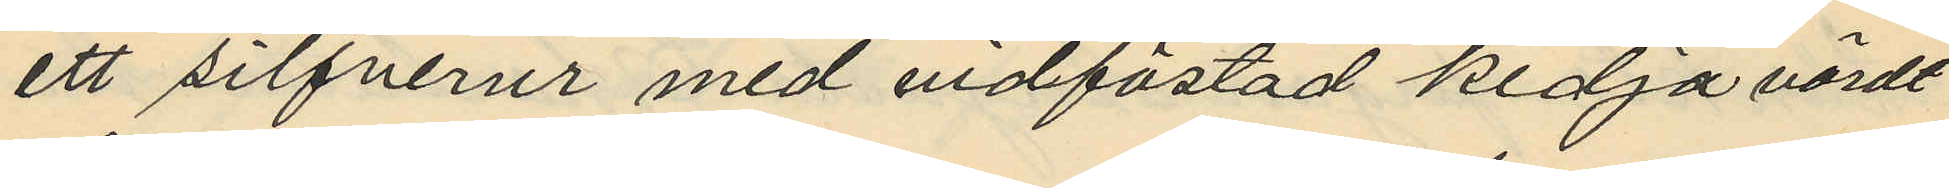ett silfverur med vidfästad kedja värdt
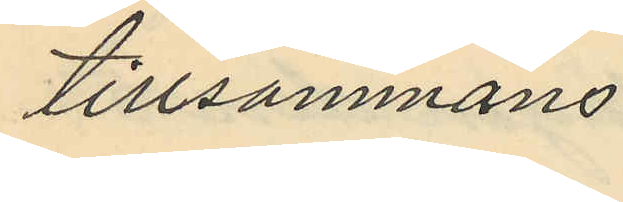tillsammans
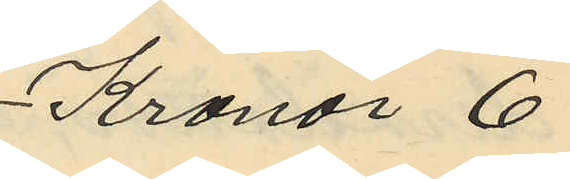Kronor 6
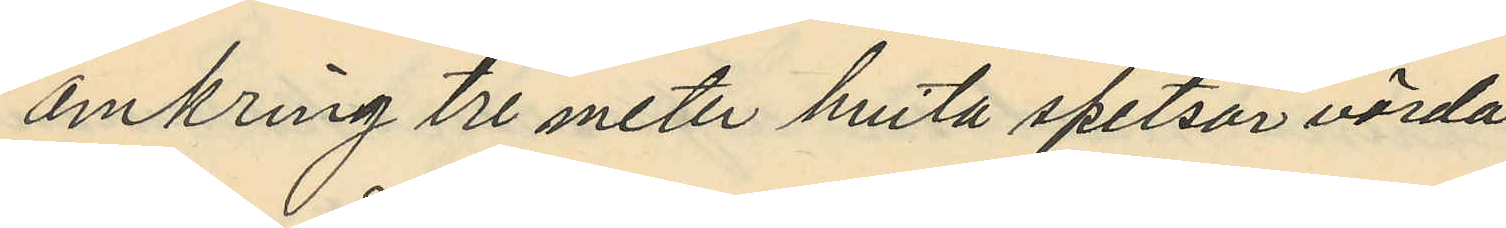omkring tre meter hvita spetsar värda
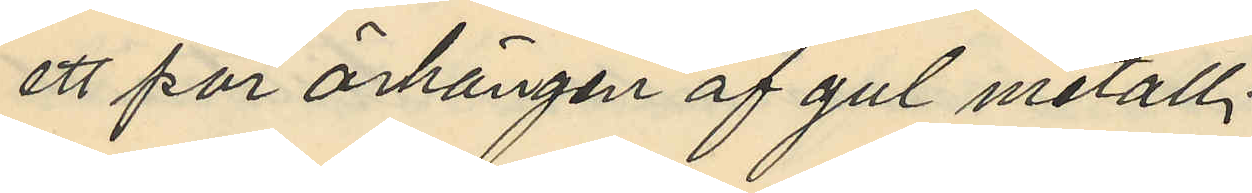ett par örhängen af gul metall
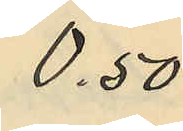0.50
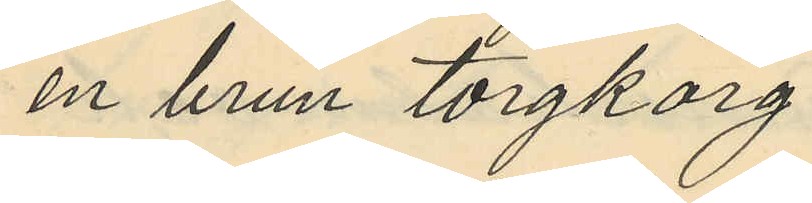en brun torgkorg
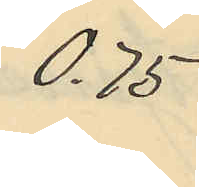0.75
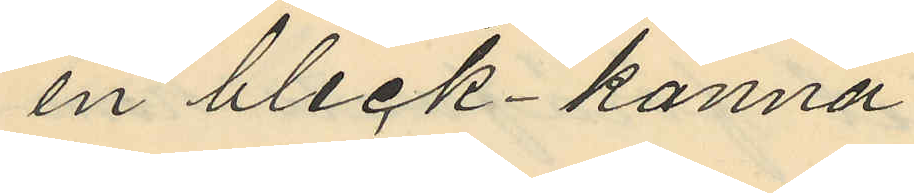en bleck-kanna
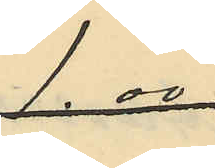1.00
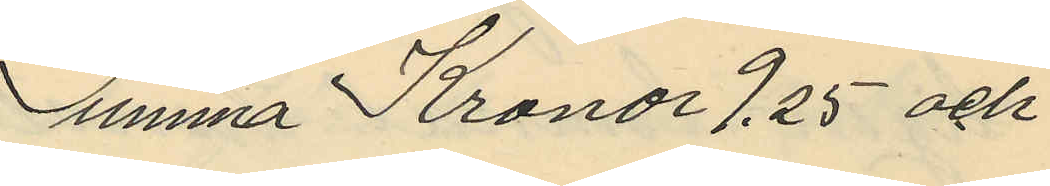Summa Kronor 9.25 och
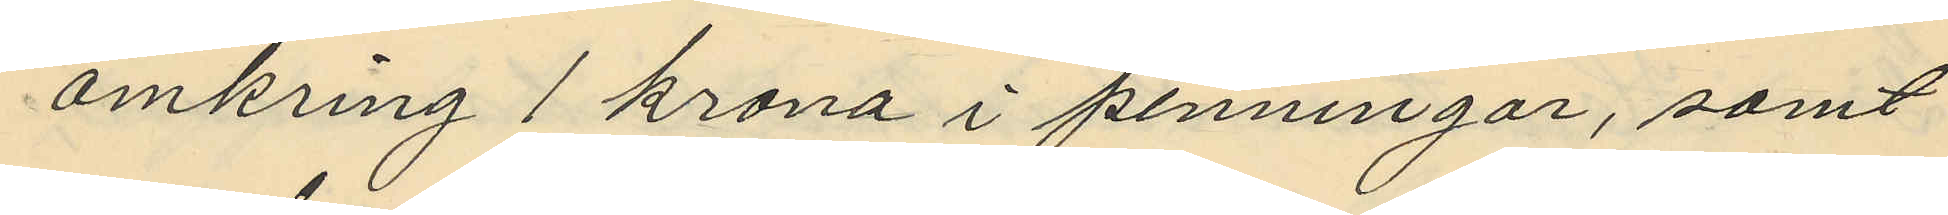omkring 1 krona i penningar, samt
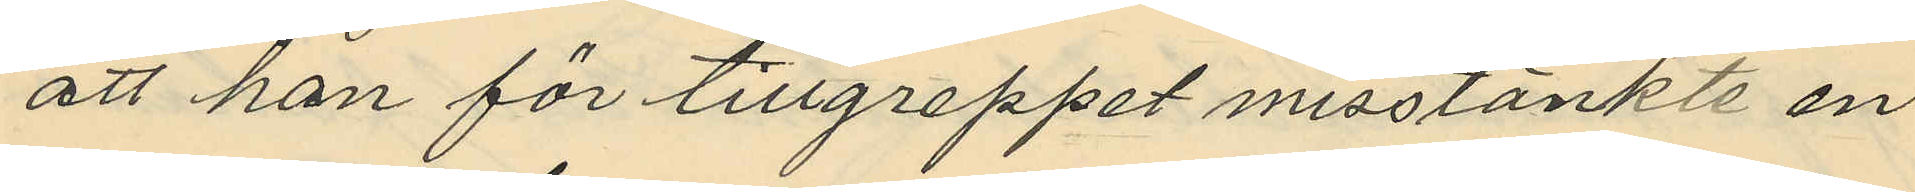att han för tillgreppet misstänkte en
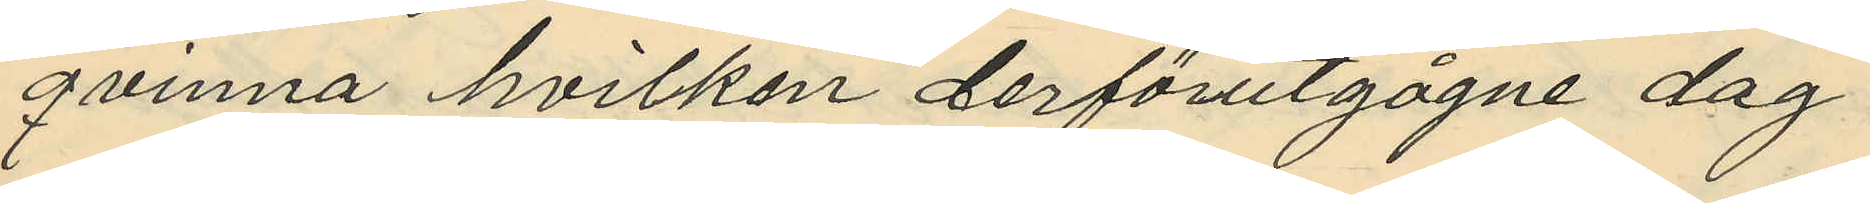qvinna hvilken derförutgågne dag
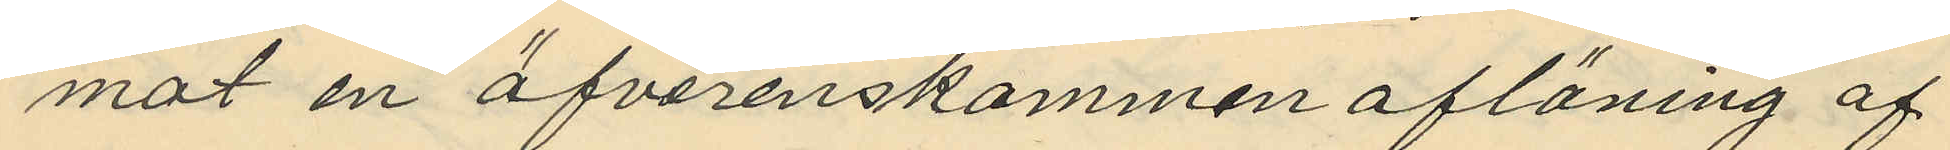mot en öfverenskommen aflöning af
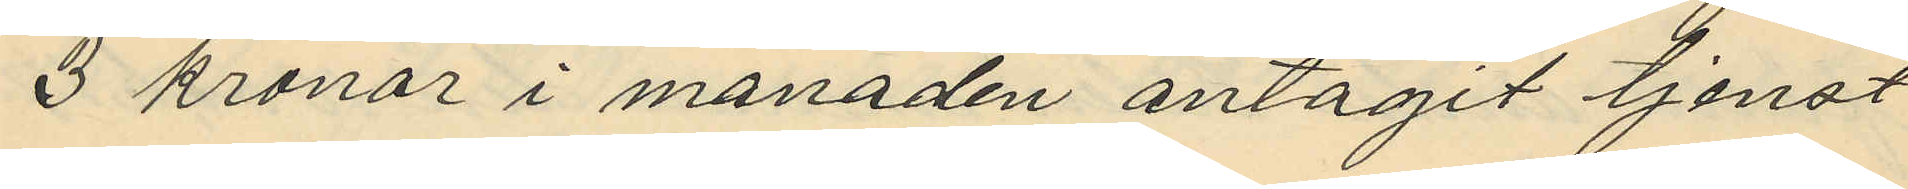3 kronor i månaden antagit tjenst
